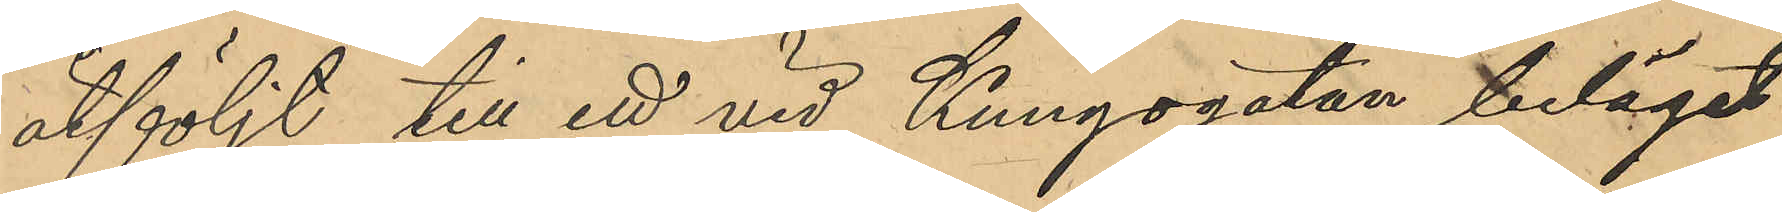åtföljt till ett vid Kungsgatan beläget
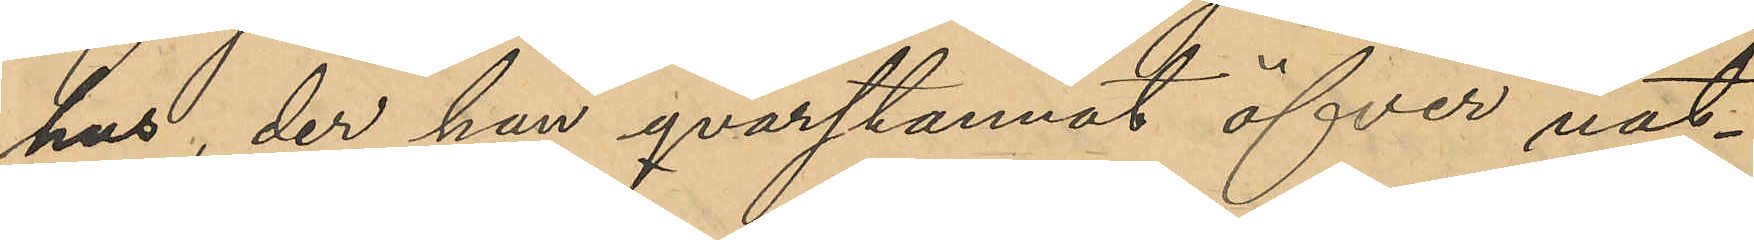hus, der hon qvarstannat öfver nat¬
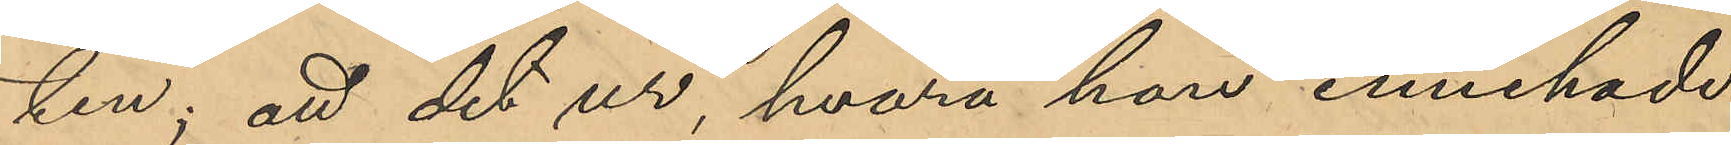ten; att det ur, hvarå hon innehade
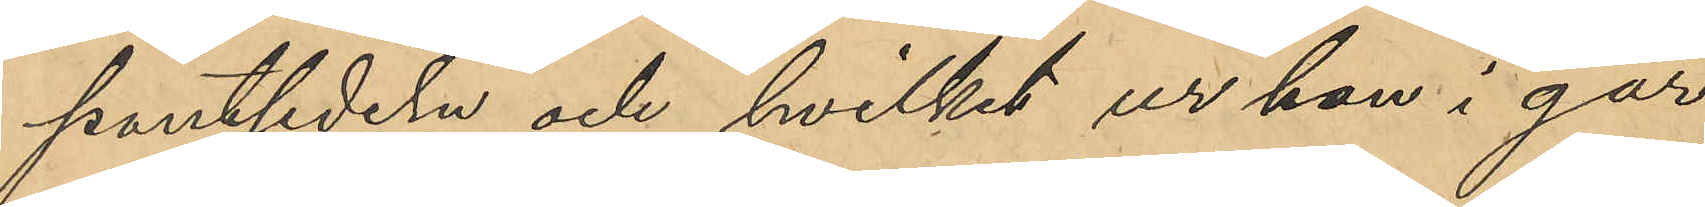pantsedeln och hvilket ur hon i går
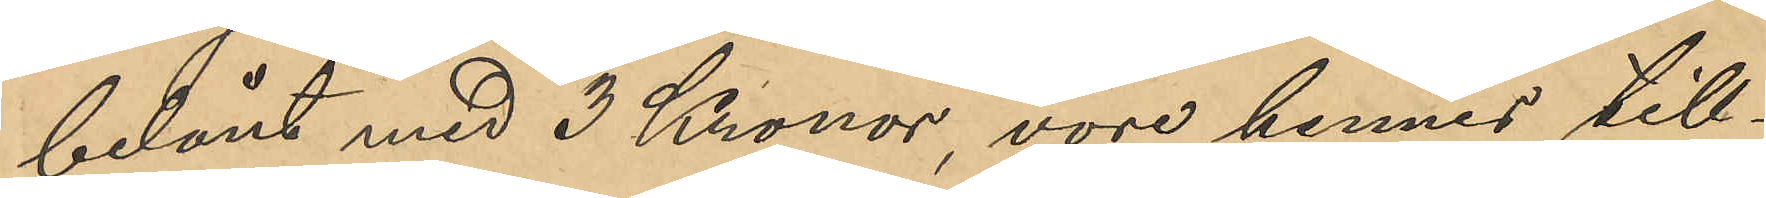belånt med 3 Kronor, vore hennes till¬
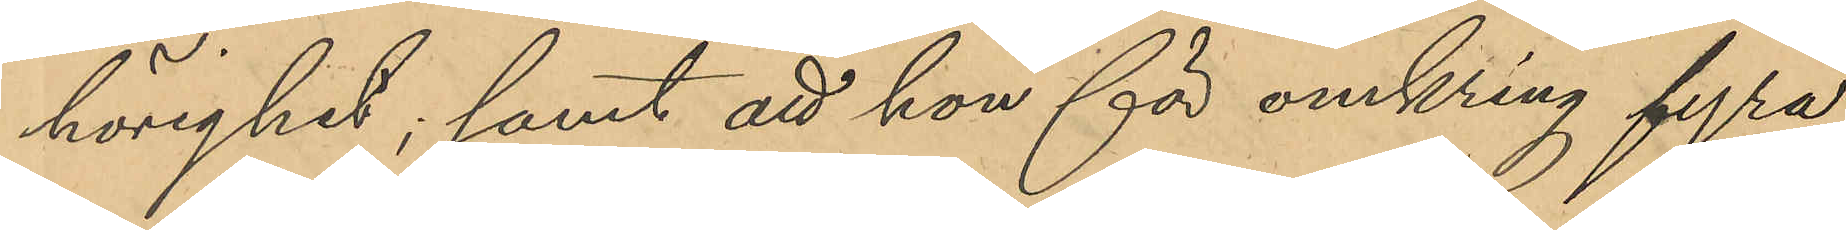hörighet; samt att hon för omkring fyra
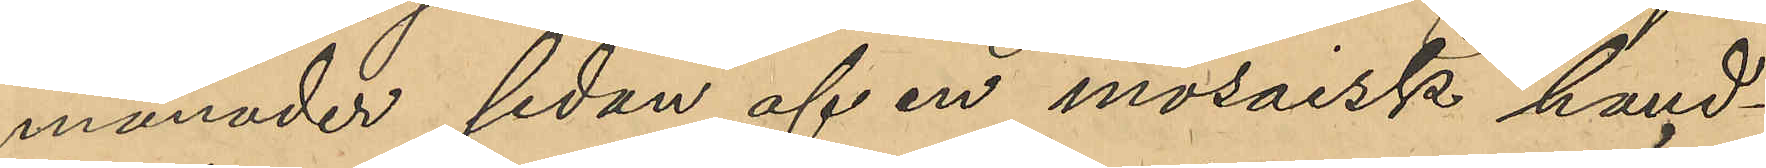månader sedan af en mosaisk hand¬
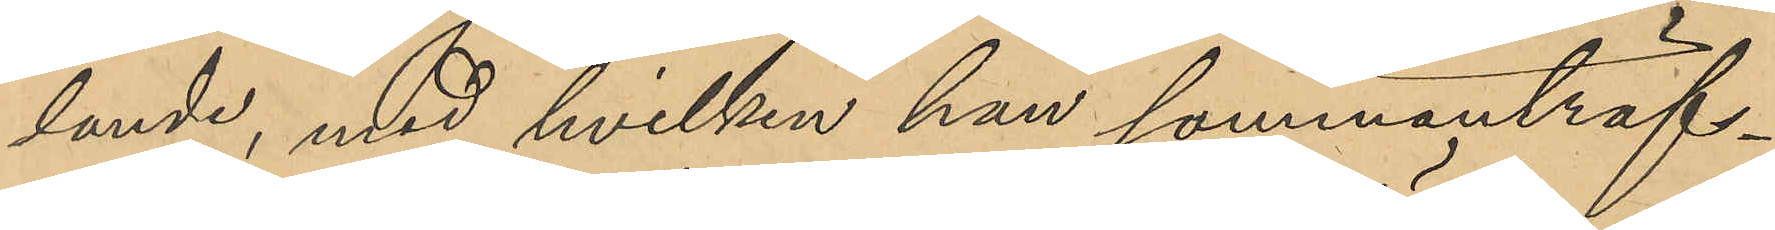lande; med hvilken hon sammanträf¬
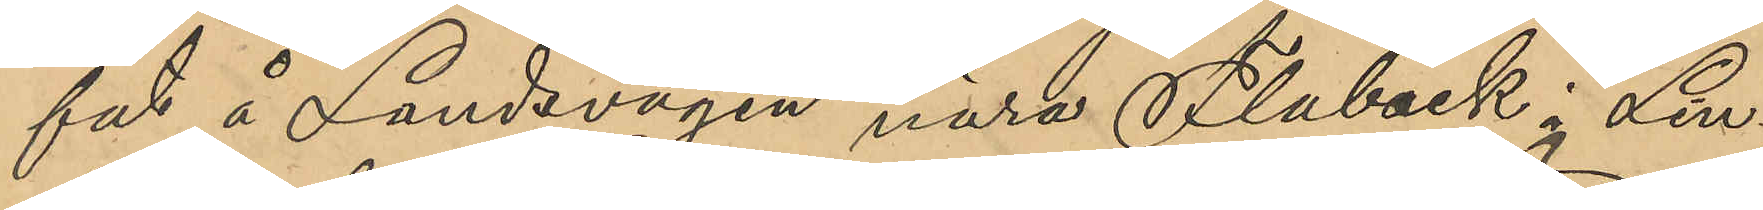fat å Landsvägen nära Flobäck i Lin¬
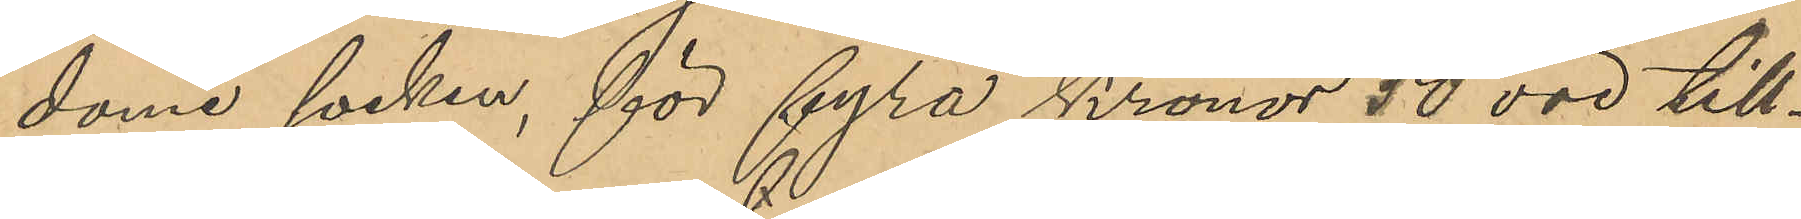dome socken, för fyra kronor 50 öre till¬
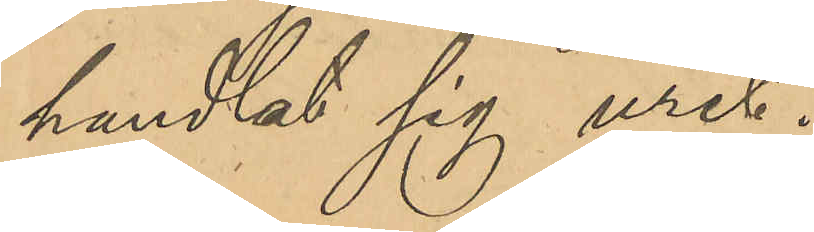handlat sig uret.
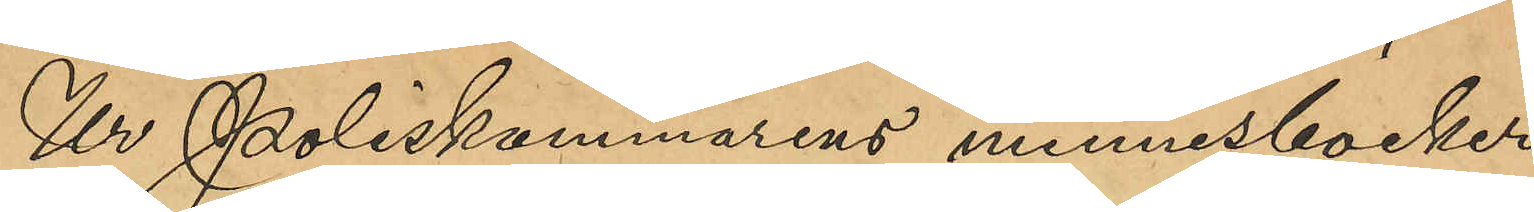Ur Poliskammarens minnesböcker
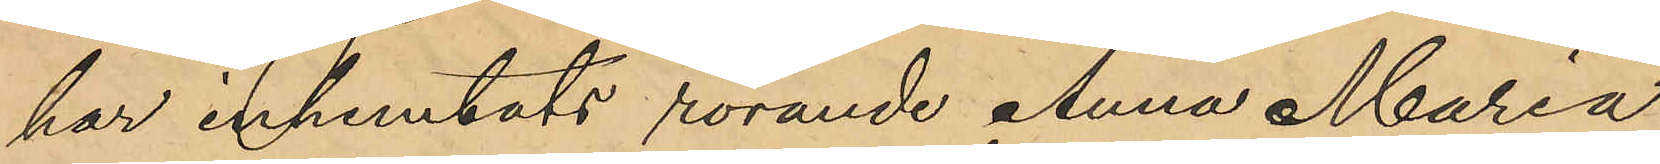har inhemtats rörande Anna Maria 
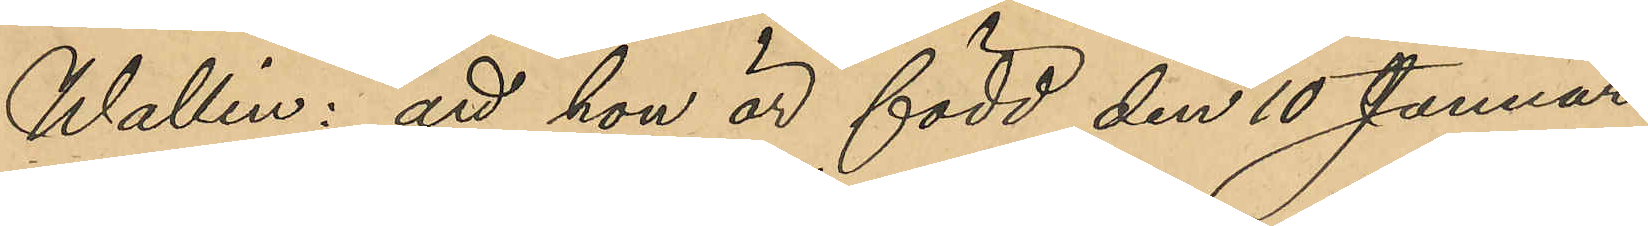Wallin: att hon är född den 10 Januari
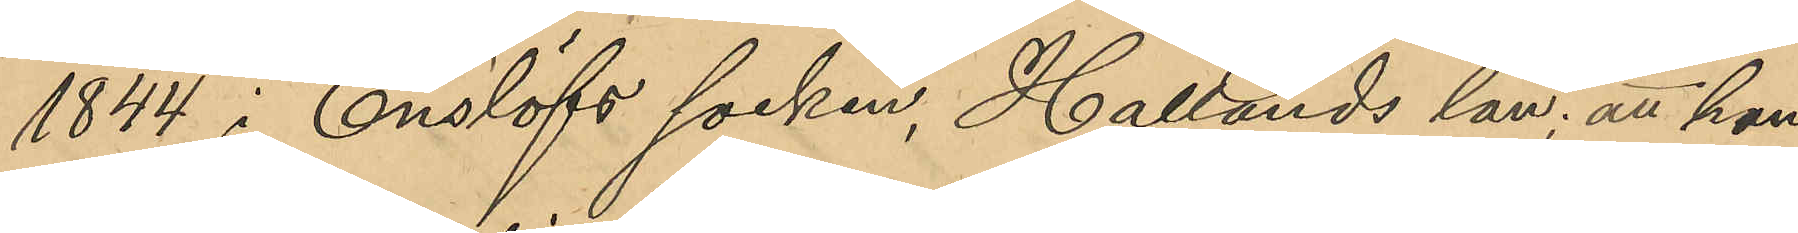1844 i Enslöfs socken, Hallands län; att hon
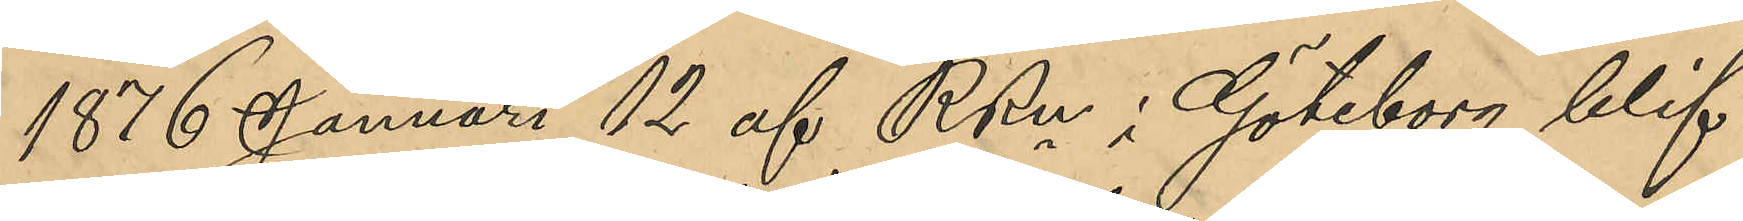1876 Januari 12 af RRn i Göteborg blif¬
